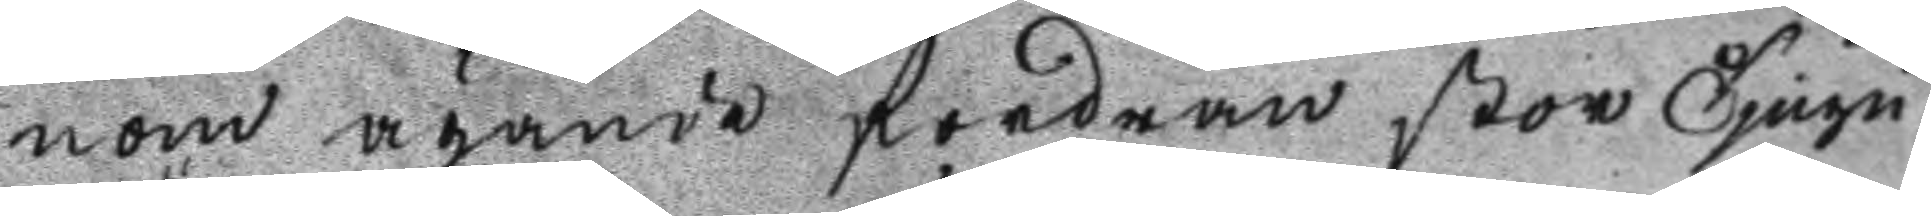nom ägande fordran stor Tjugu
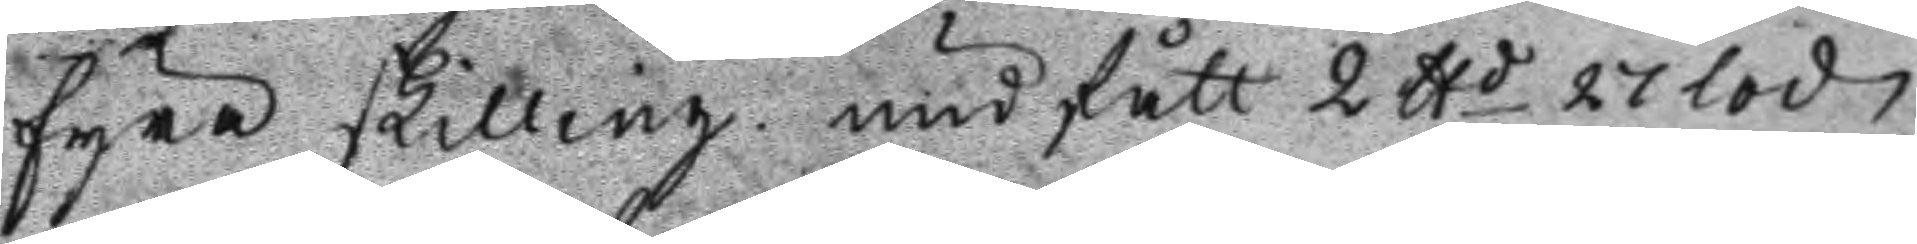fyra skilling undfått 2 ttd 27 lod
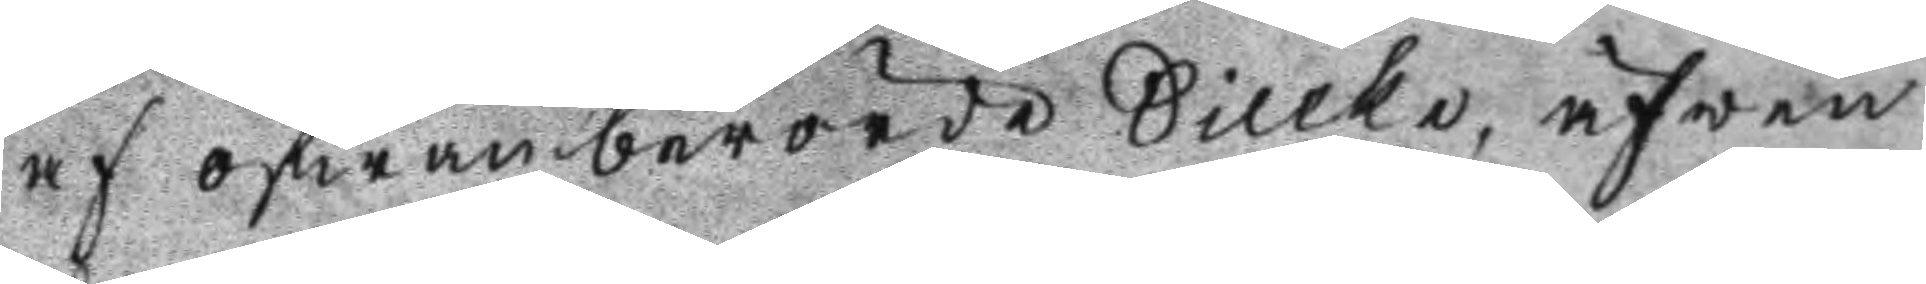af ofwanberörde Sillke, äfwen
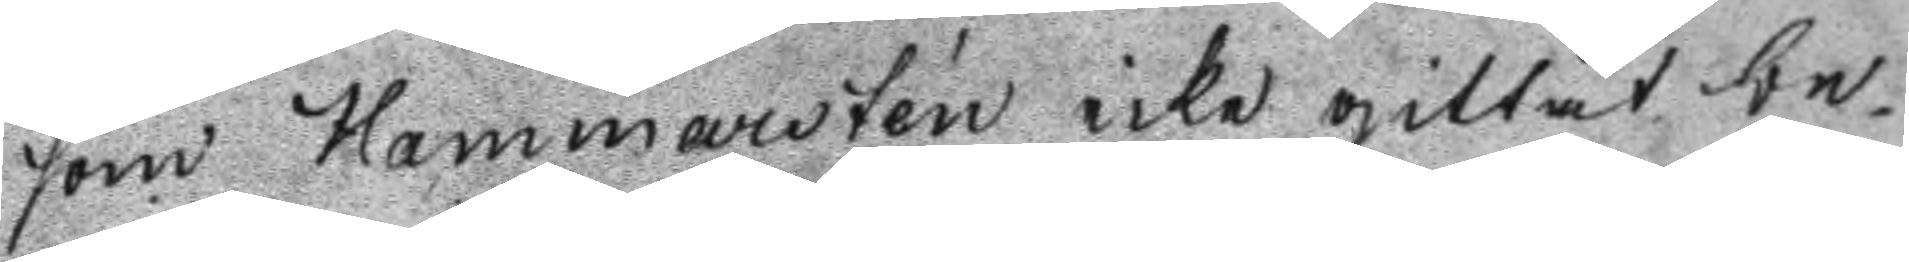som Hammarsten icke gillat be
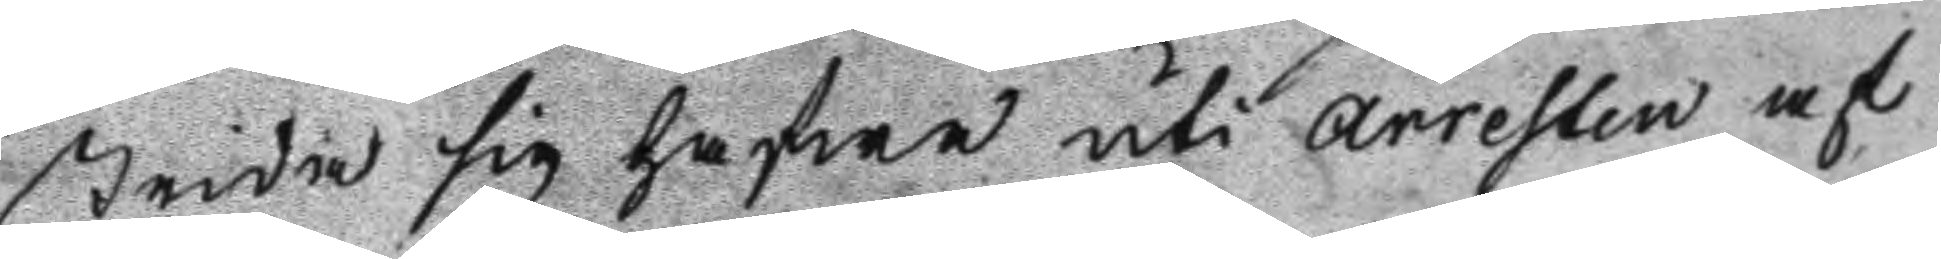strida sig hafwa uti arresten af
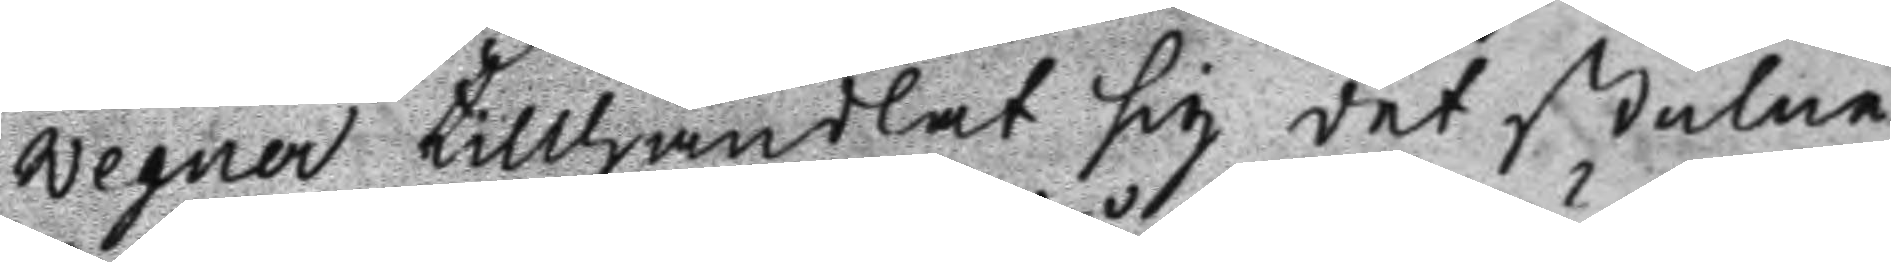wegner tillhandlat sig det stulne
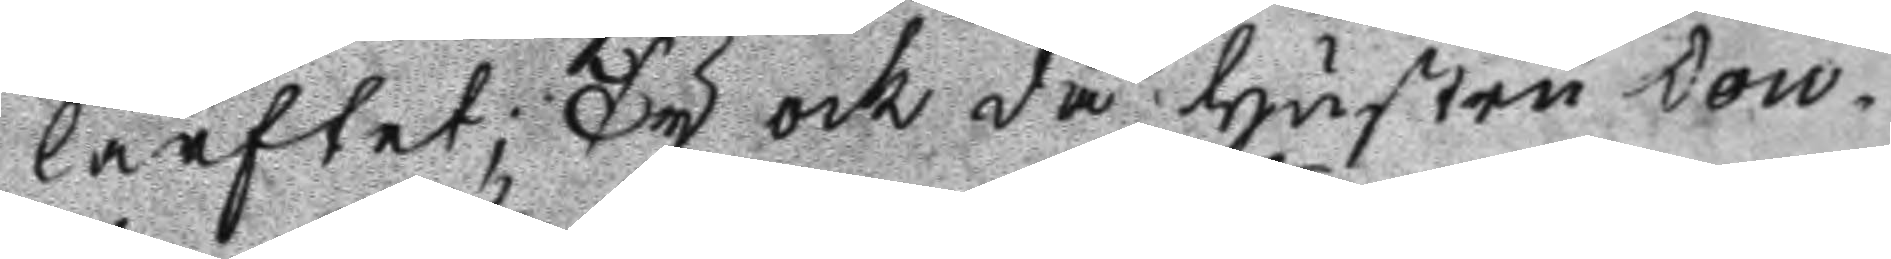lärftet; Ty ock då hustru Dou¬
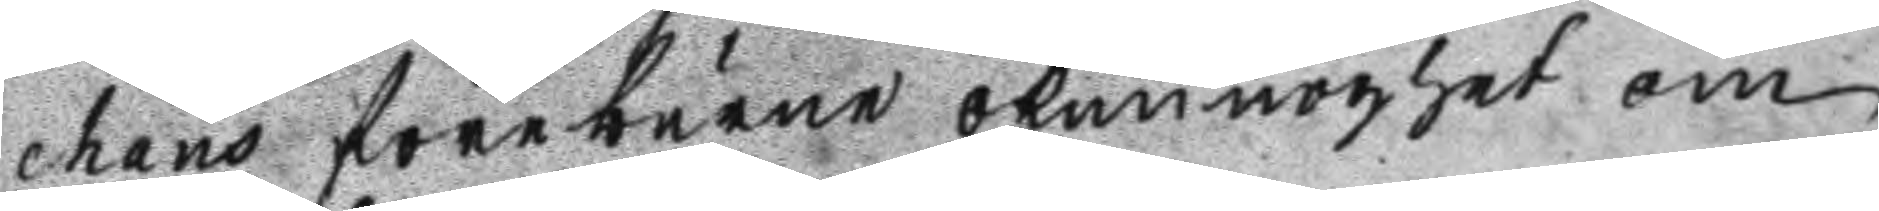chans föreburne okunnoghet om
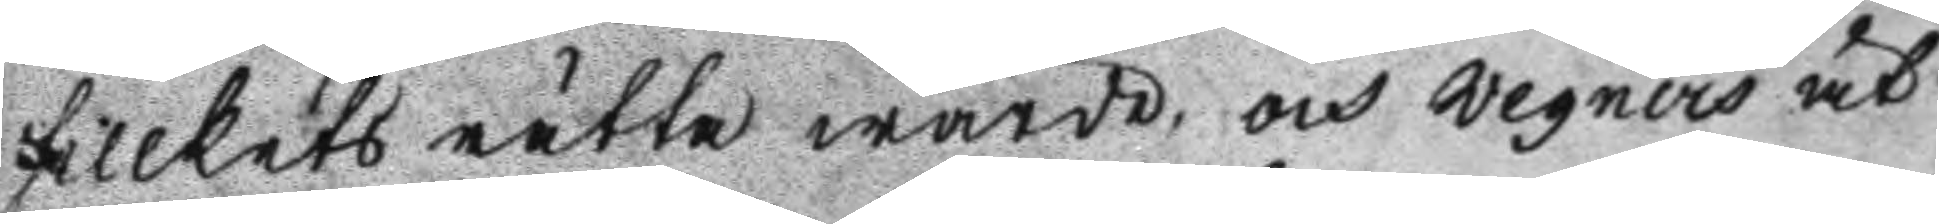sillkets rätta wärde och wegners åt
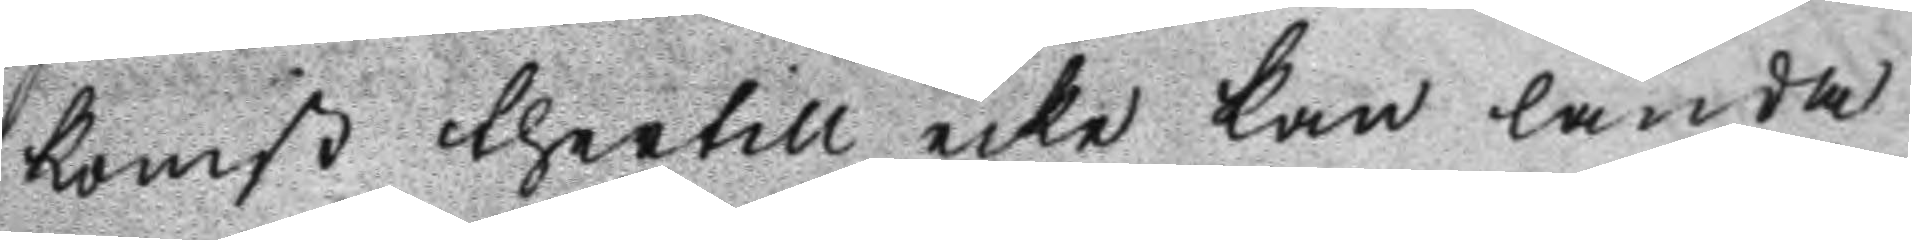komst thertill icke kan lända
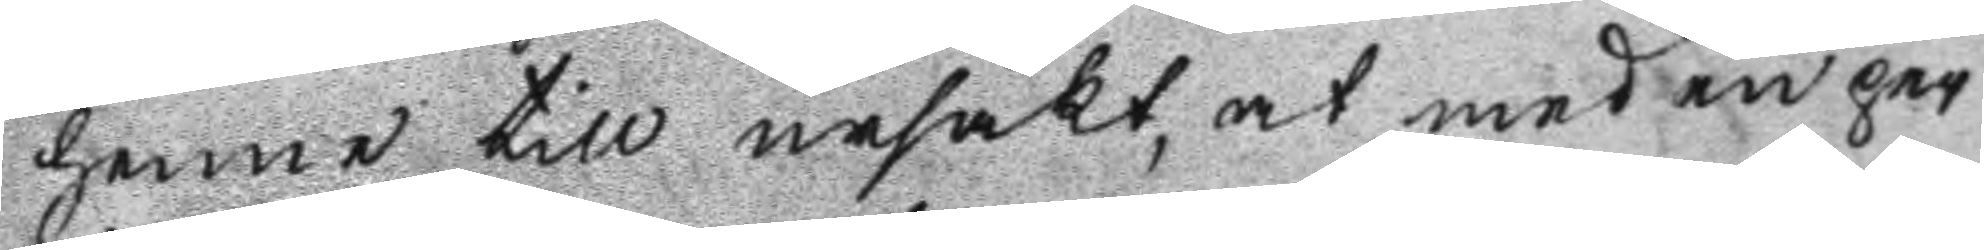henne till ursäkt, at med en per
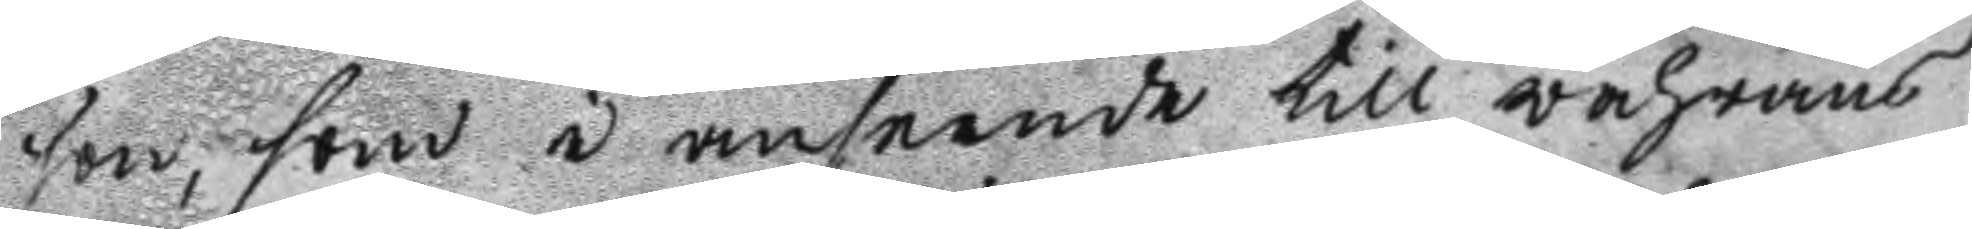son, som i anseende till wahrans
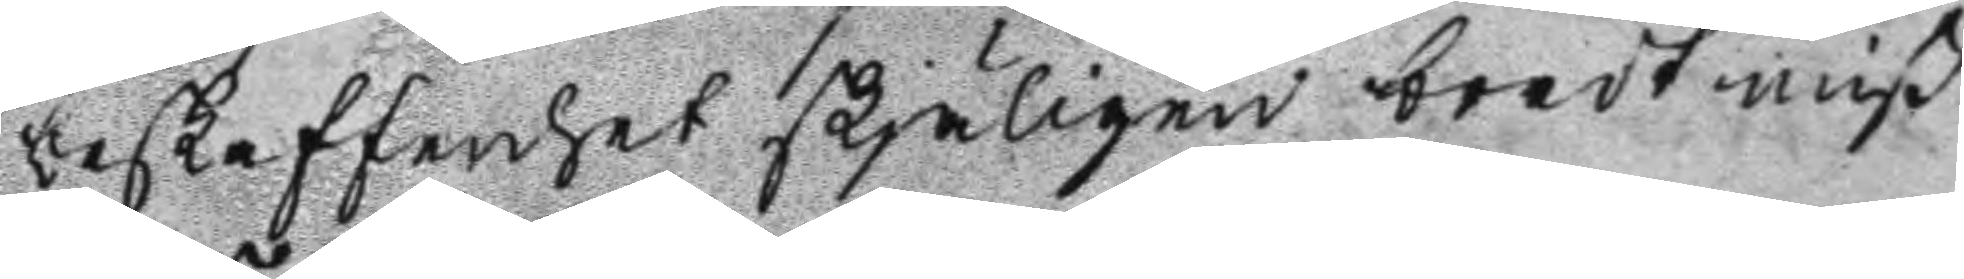beskaffenhet skjäligen bordt miß
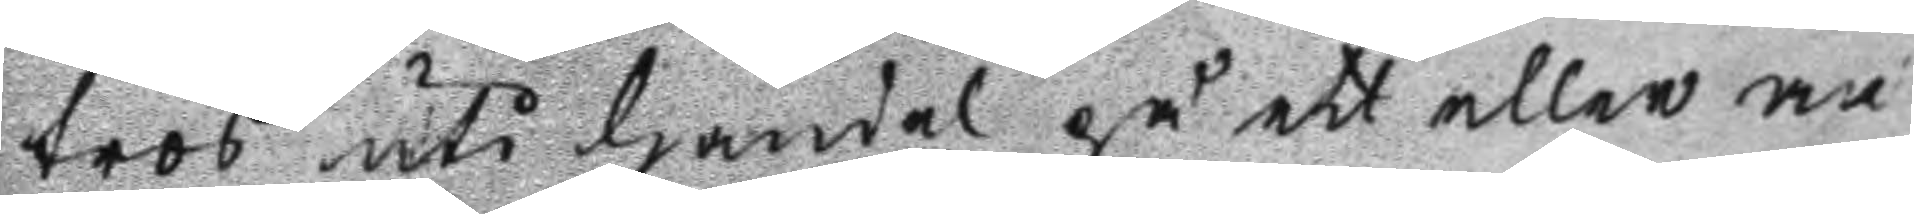tros uti handel på ett eller an
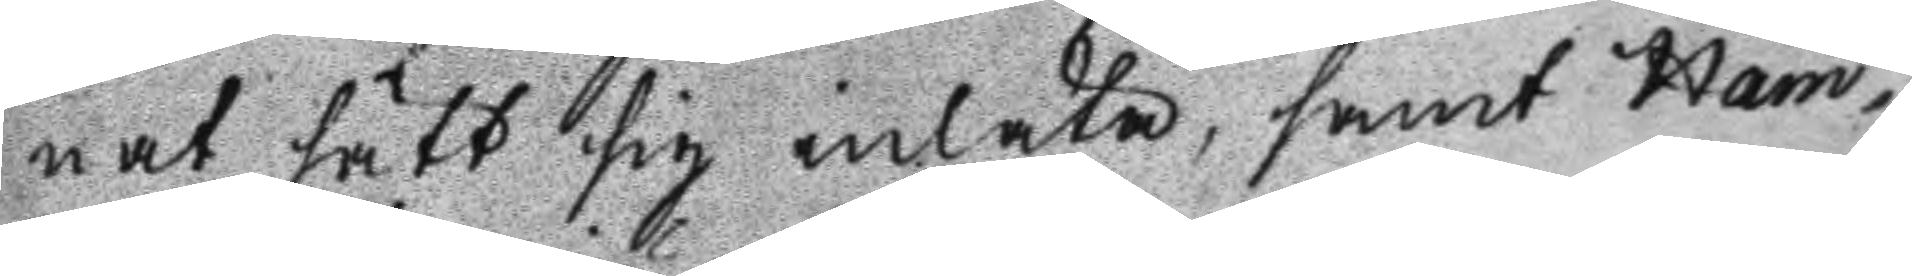nat sätt sig inlåta, samt Ham
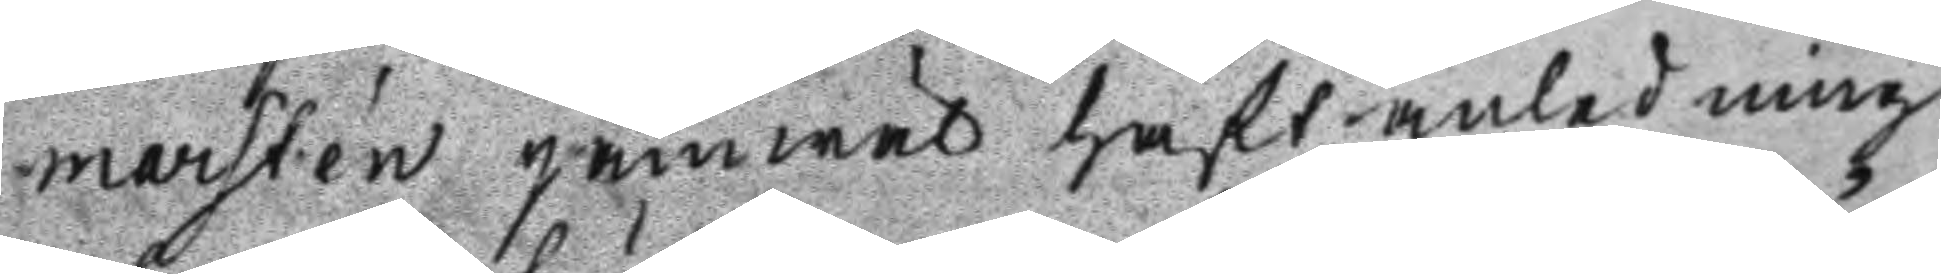marsten jämwäl haft anledning
